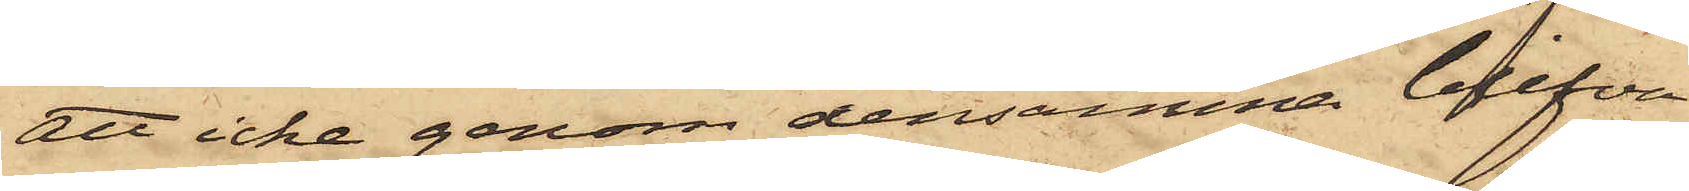att icke genom densamma blifva
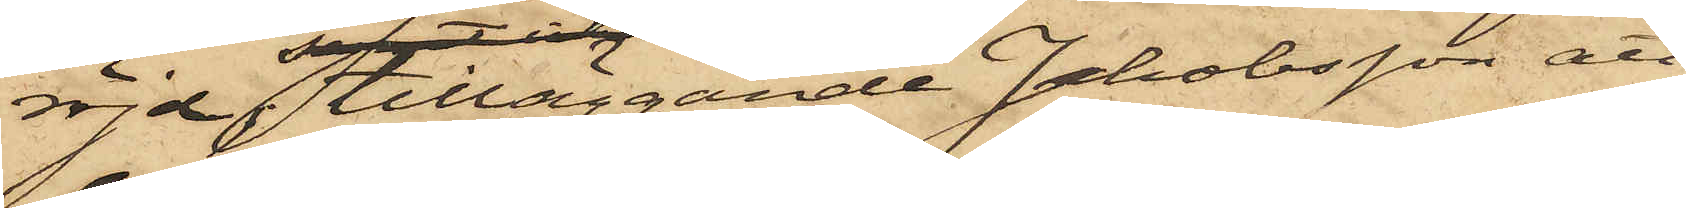röjd; tilläggande Jakobsson att
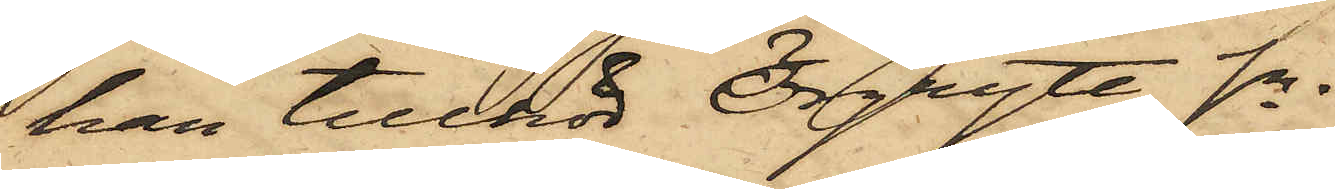han tillhör Örgryte Sn.
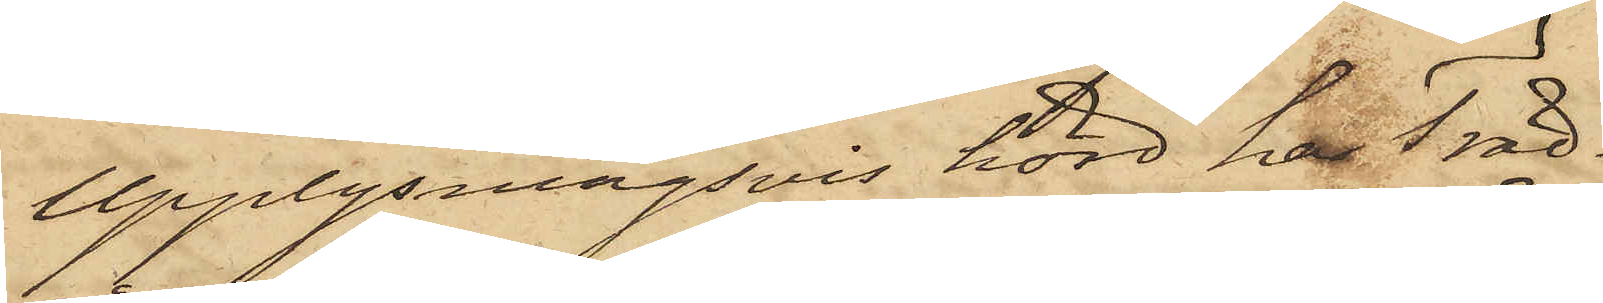Upplysningsvis hörd har Träd¬
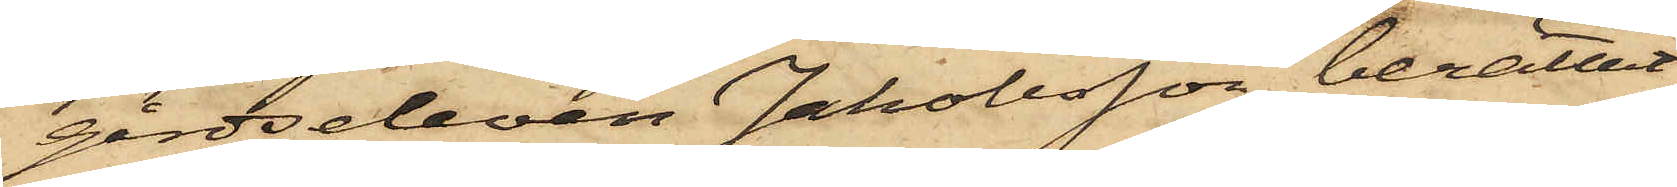gårdseleven Jakobsson berättat,
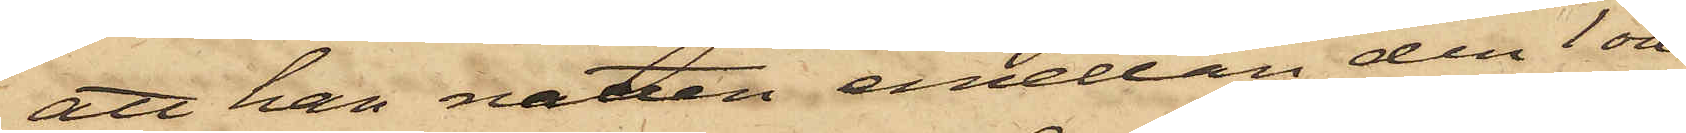att han natten emellan den 1 och
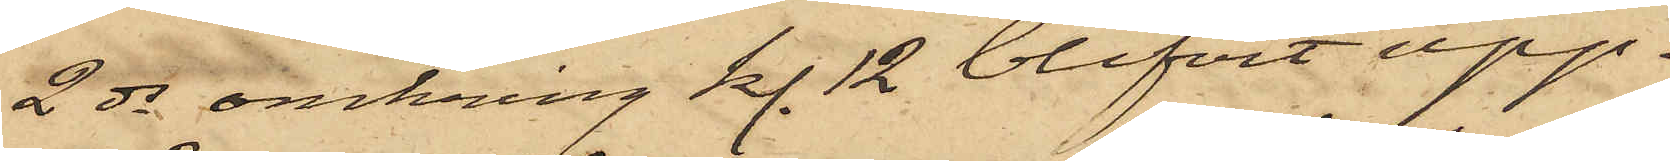2 ds omkring kl. 12 blifvit upp¬
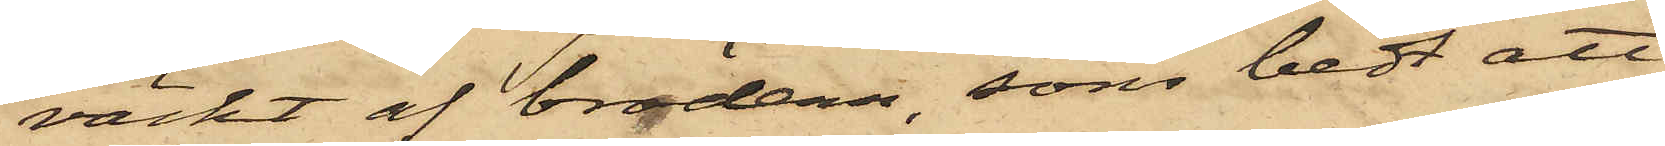väckt af brodern, som bedt att
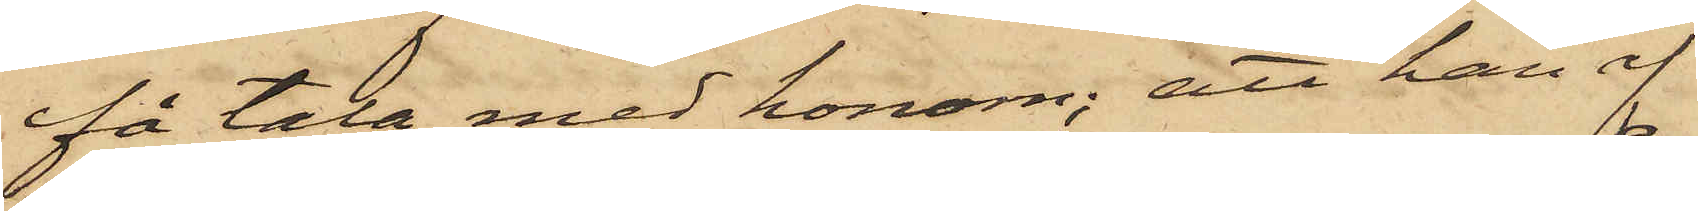få tala med honom; att han af
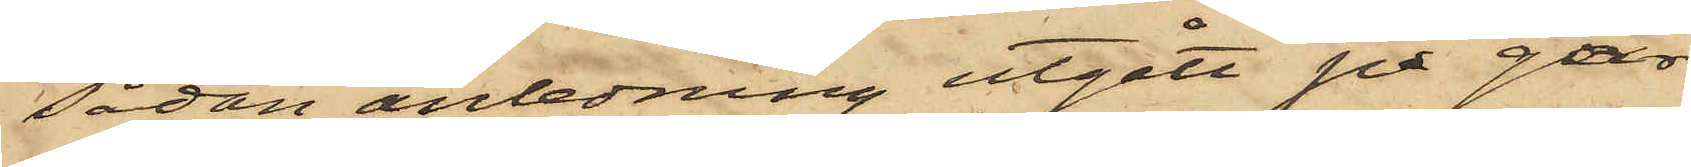sådan anledning utgått på går¬
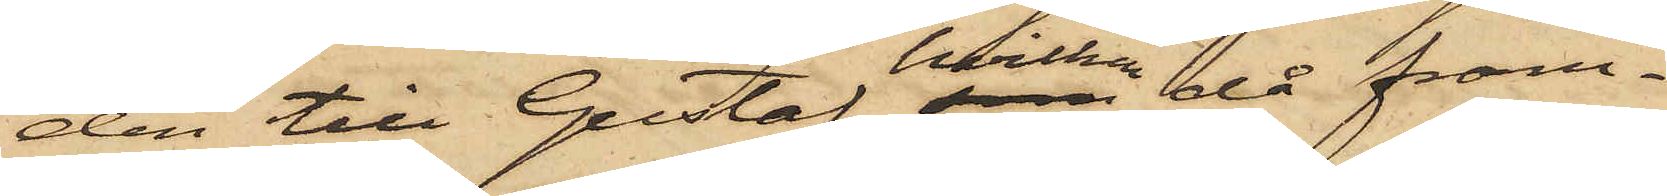den till Gustaf, hvilken då fram¬
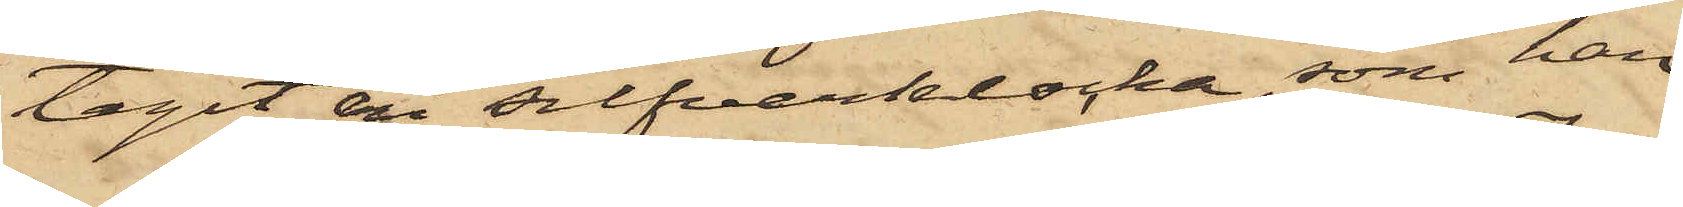tagit en silfverklocka, som han
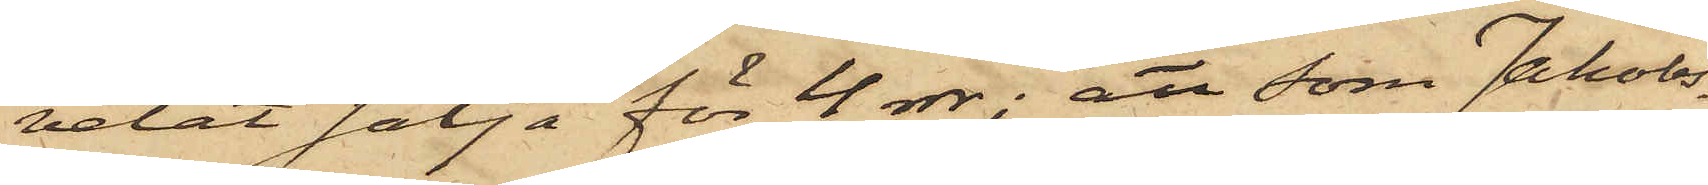velat sälja för 4 rdr; att som Jakobs¬
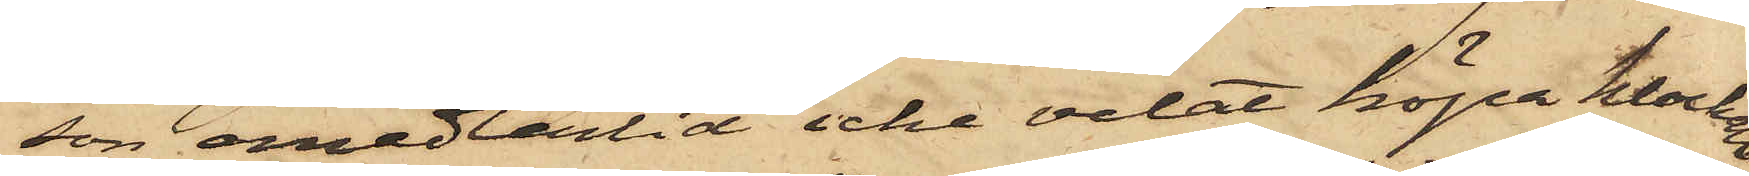son emedlertid icke velat köpa klockan,
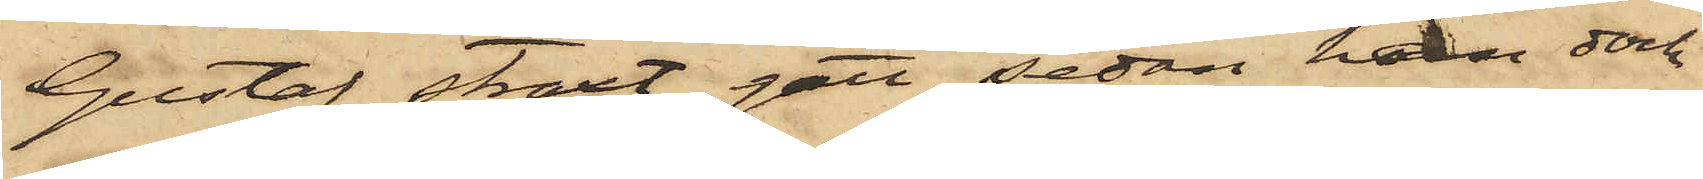Gustaf straxt gått, sedan han dock
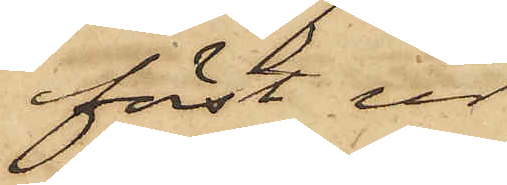först ur
